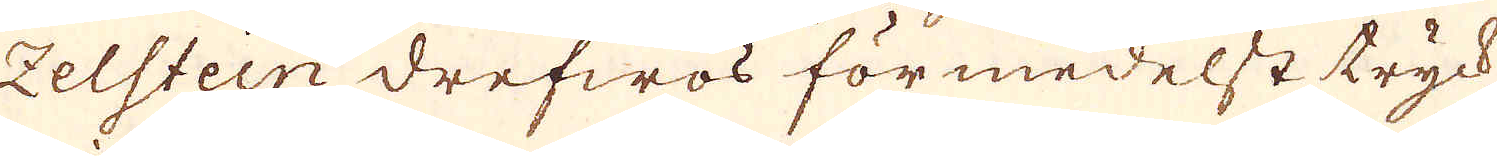zelstein drefwos förmedelst tryck-
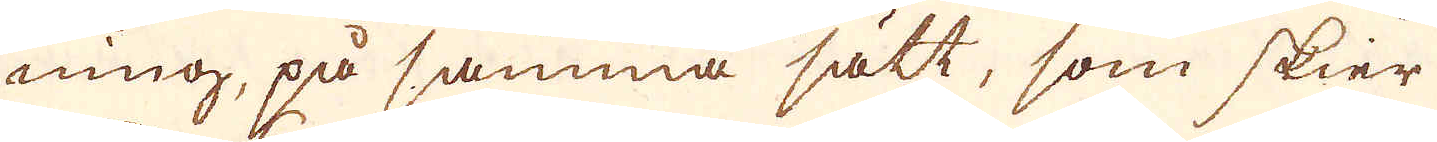ning, på samma sätt, som skier
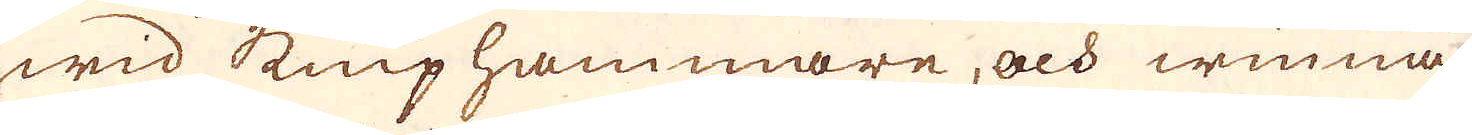wid kniphammare, och winna
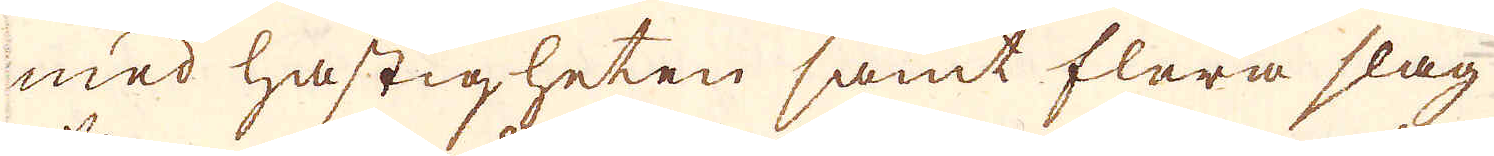med hastigheten samt flera slag
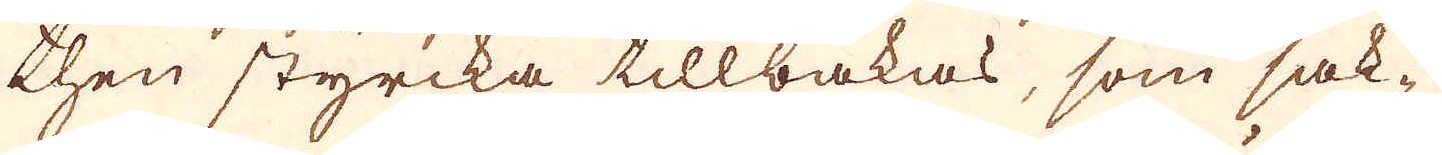then styrcka tillbakas, som sak-
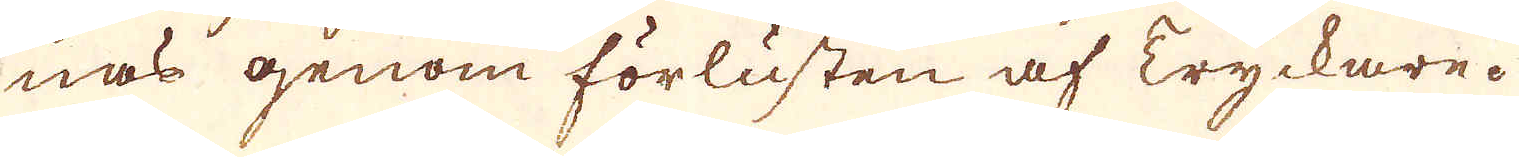nas genom förlusten af Tryckare.
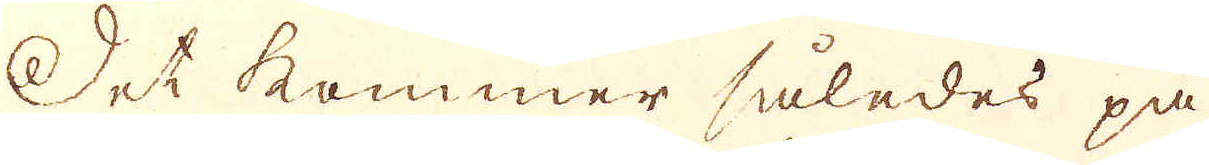Det kommer således på
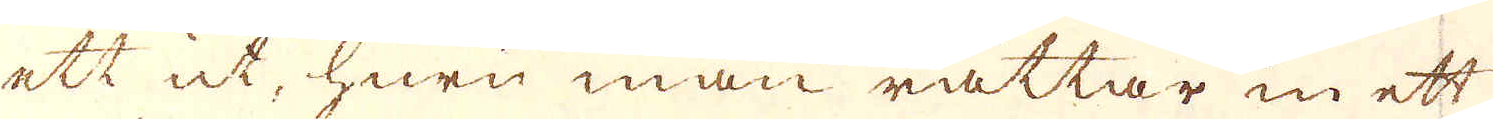ett ut, huru man rättar in ett
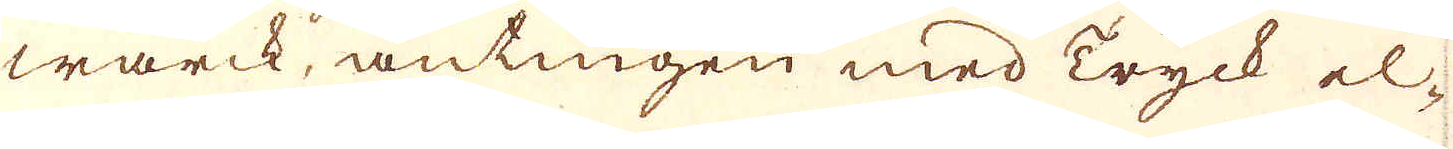wärck, antingen med Tryck el-
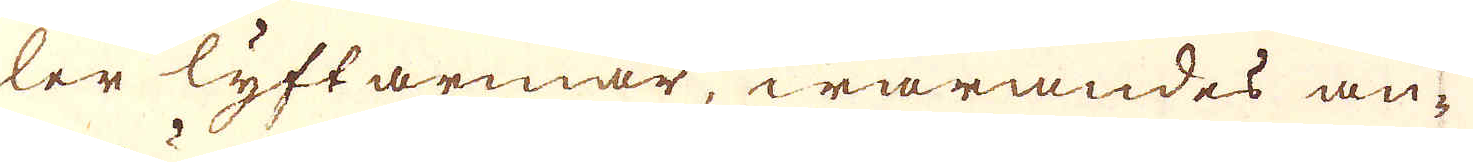ler lyftarmar, warandes an-
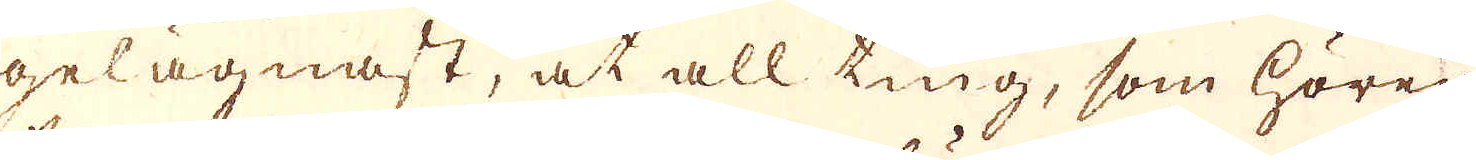gelägnast, at all ting, som hörer
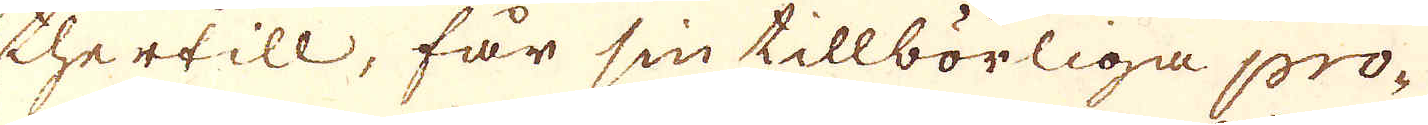thertill, får sin tillbörliga pro-
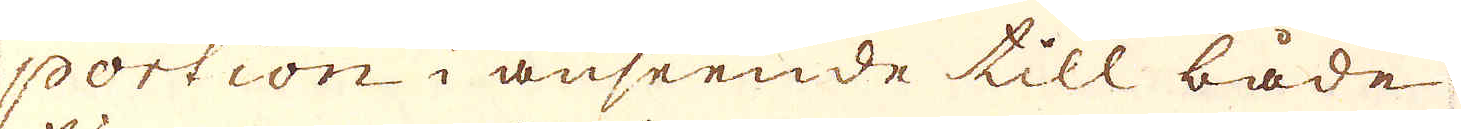portion i anseende till, både
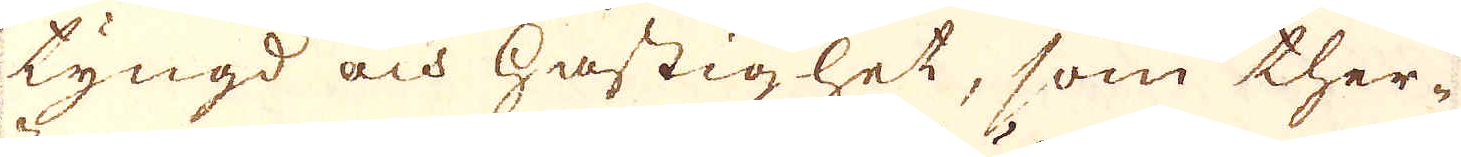tyngd och hastighet, som ther-
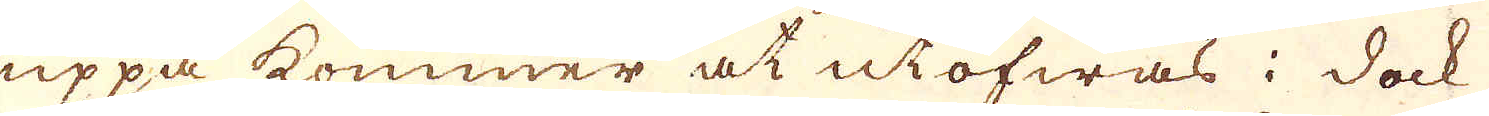uppå kommer at utöfwas: dock
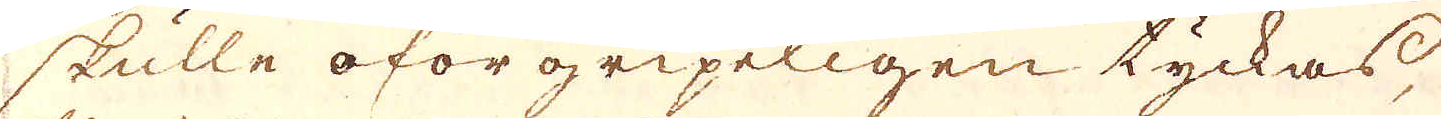skulle oförgripeligen tyckas
